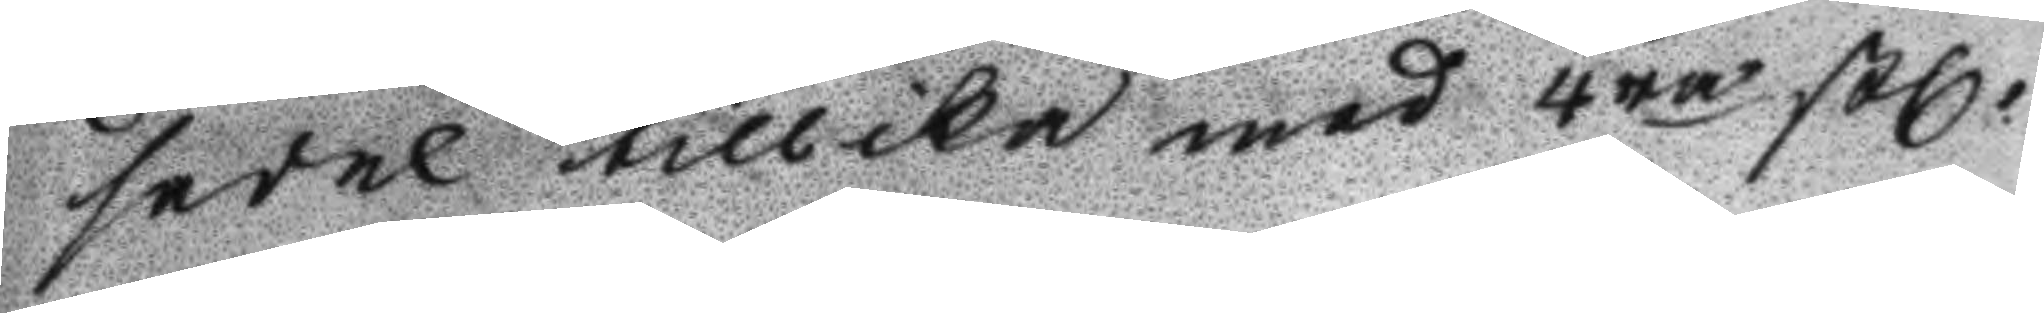sedel tillika med 4ra Stl
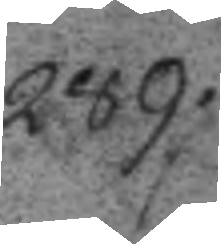289.
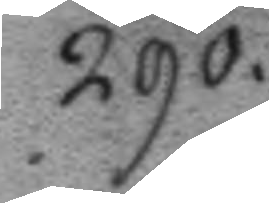290.
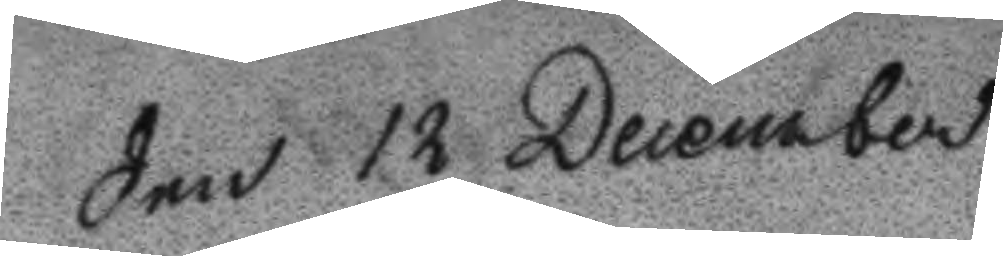Den 12 December
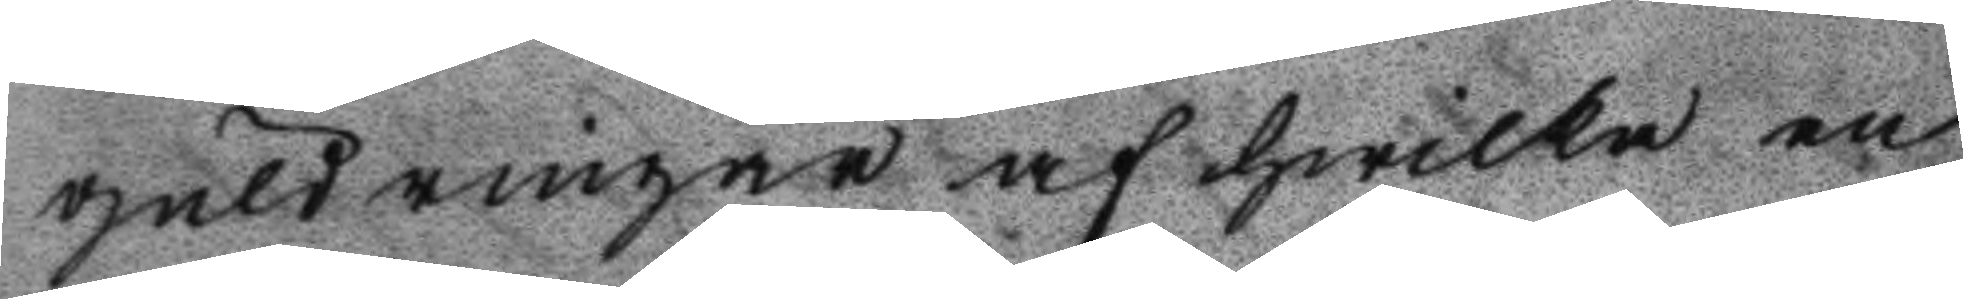guldringar af hwilka en
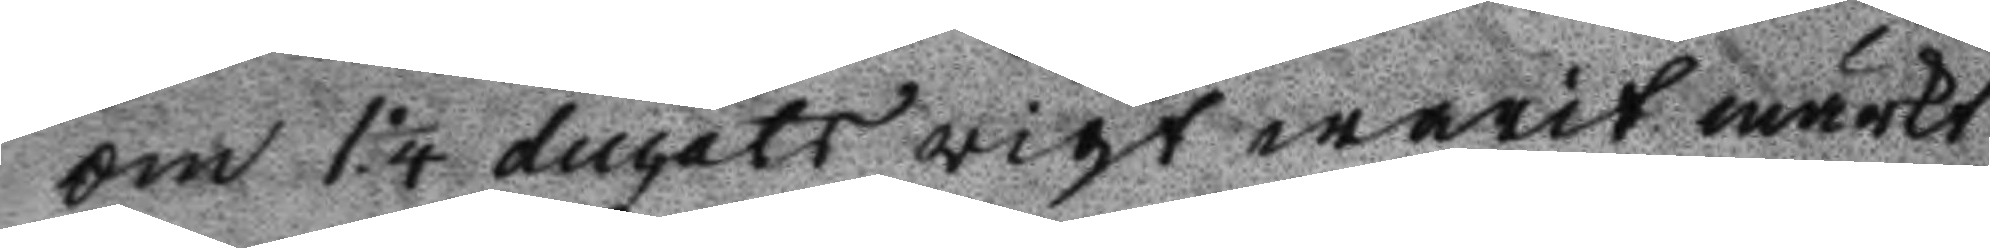om 1 1/4 ducats vigt warit märkt
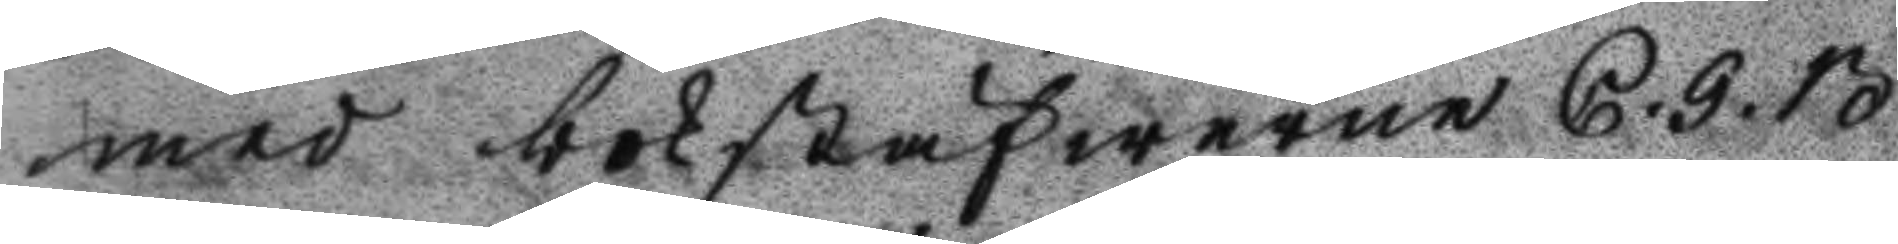med bokstäfwerne C. G. B.
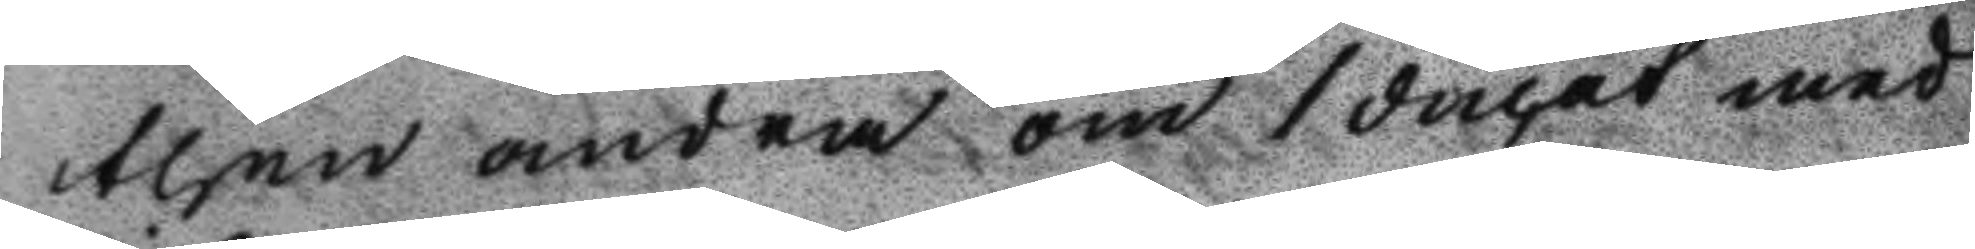then andra om 1 ducat med
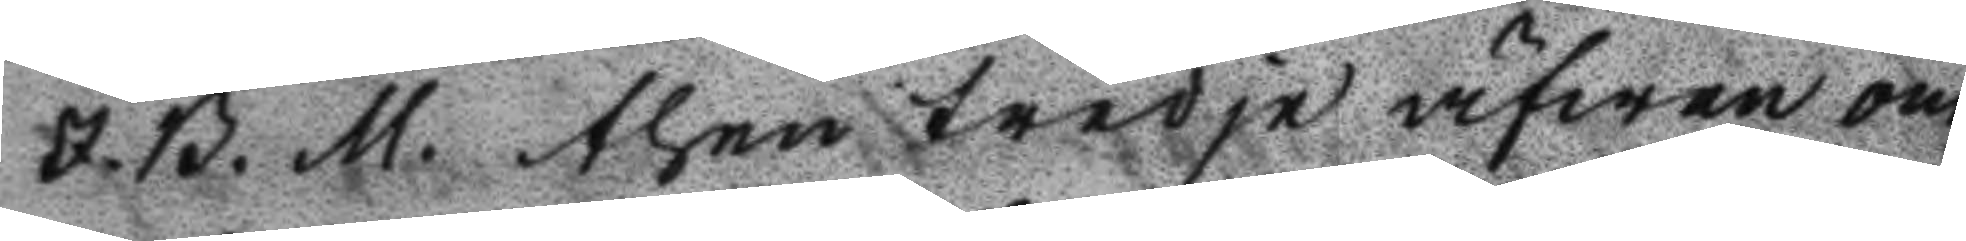J. B. M. then tredje äfwen om
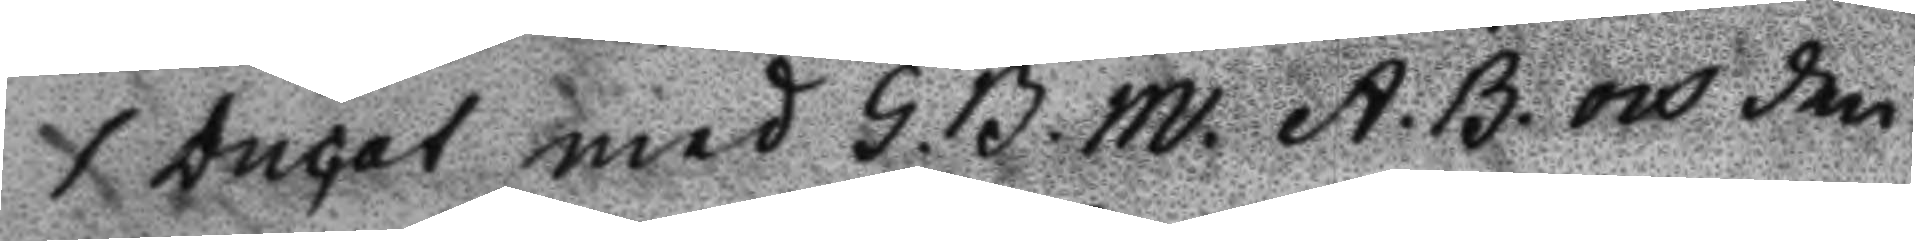1 ducat med G. B. M. A. B. och den
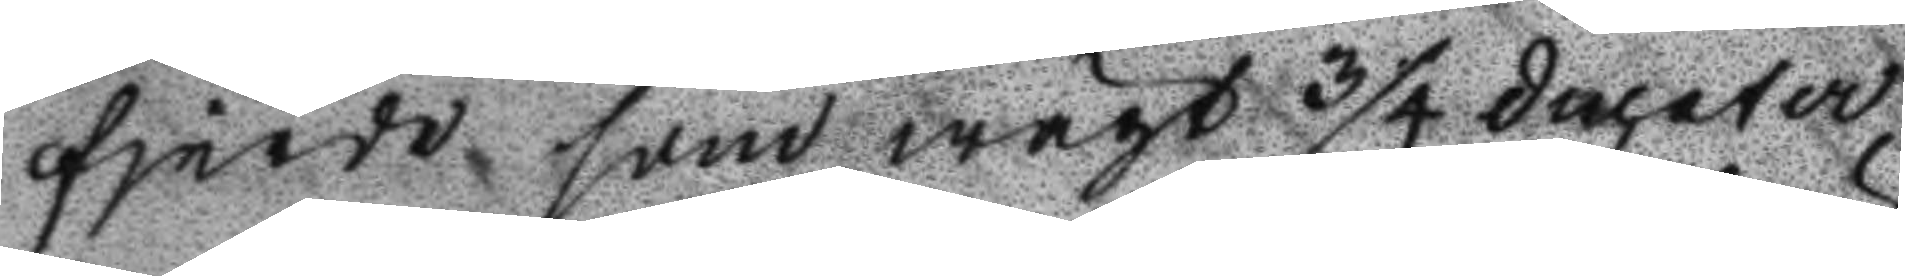fjerde som wägt 3/4 ducater
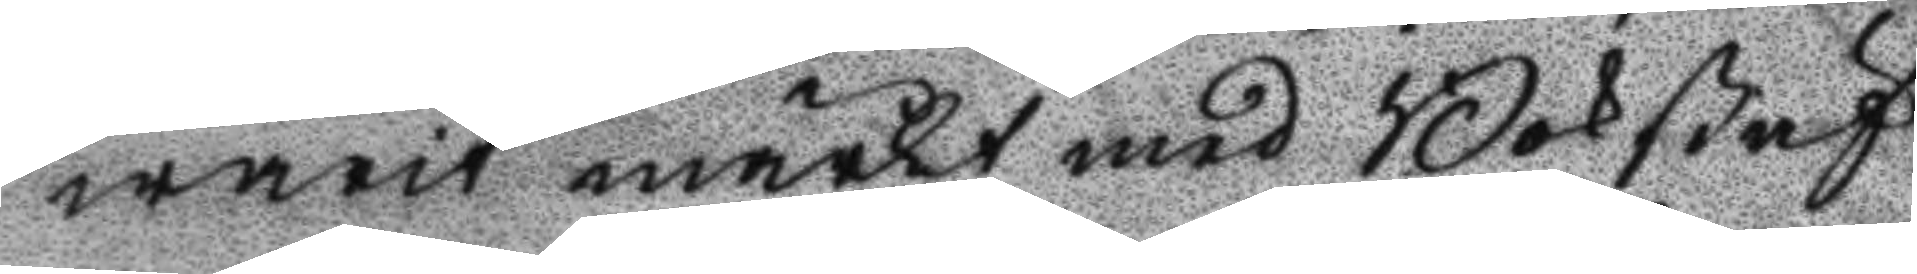warit märkt med Bokstäf
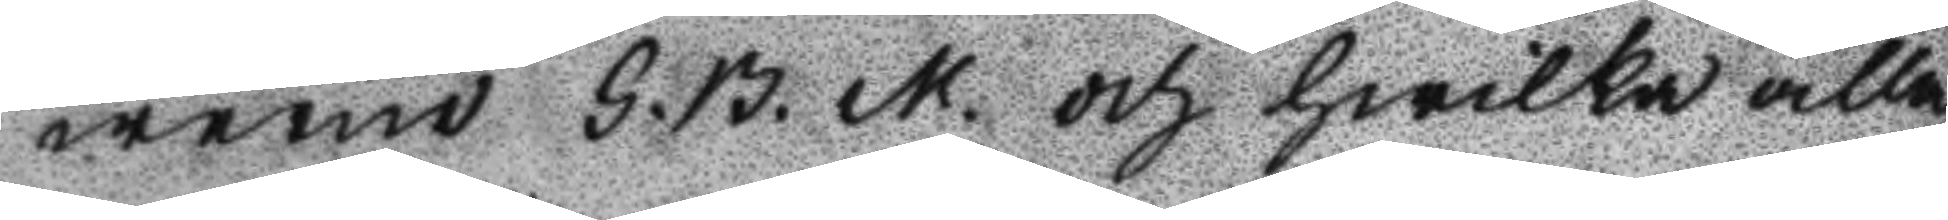werne G. B. M. och hwilka alla
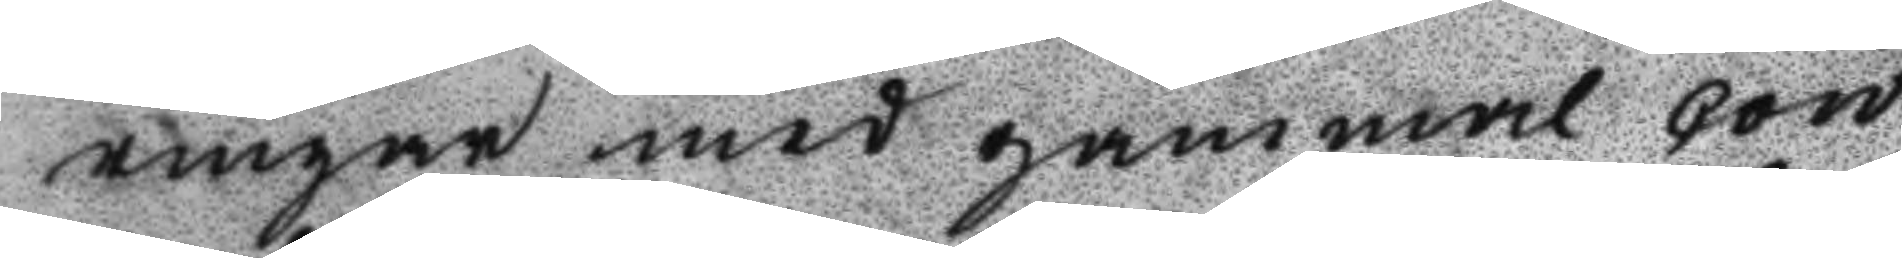ringar med gammal con
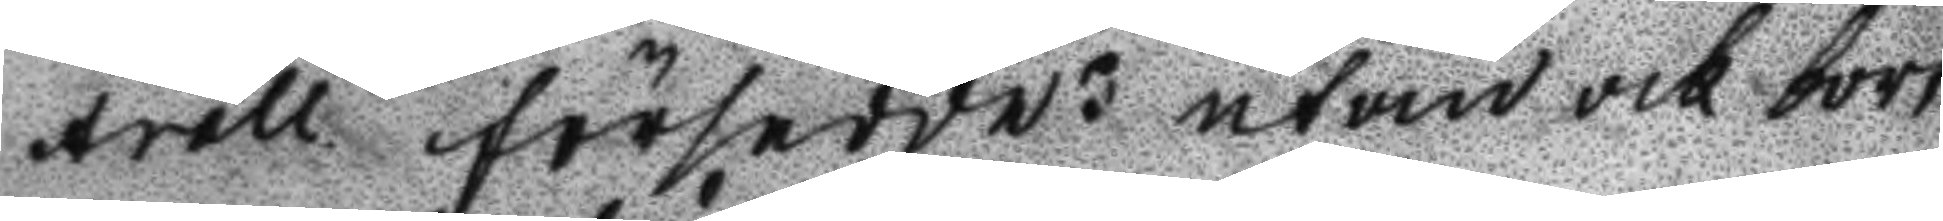troll försedde utom och bort
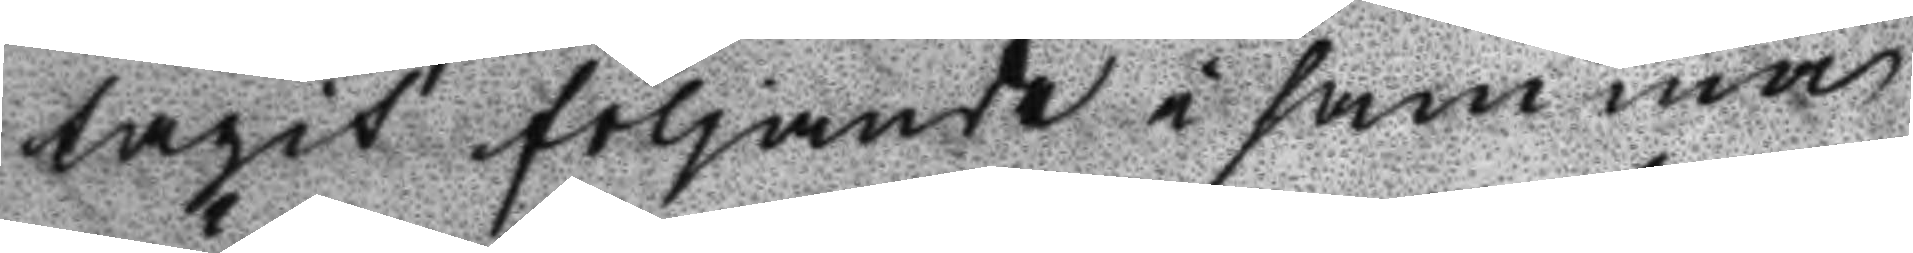tagit förljande i samma
